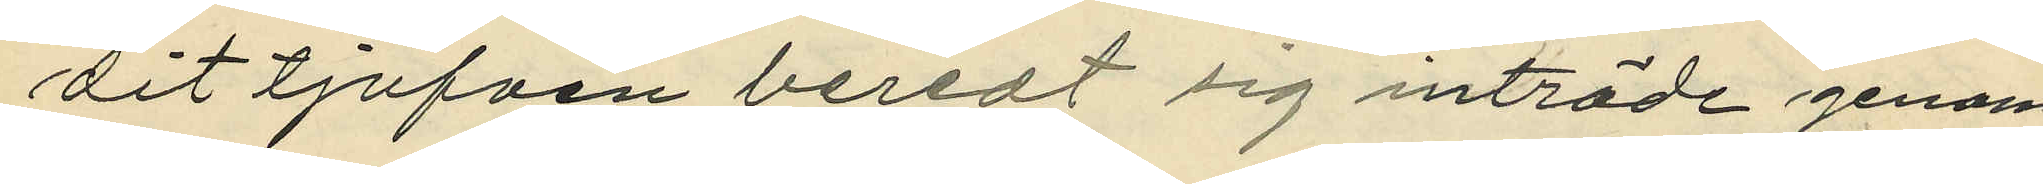dit tjufven beredt sig tillträde genom
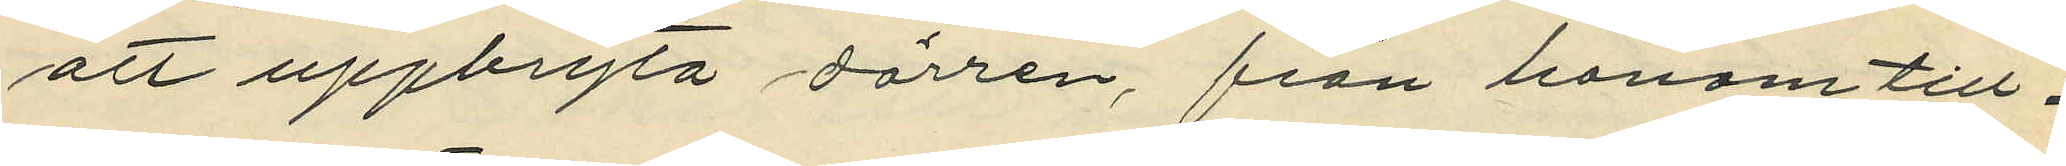att uppbryta dörren från honom till¬
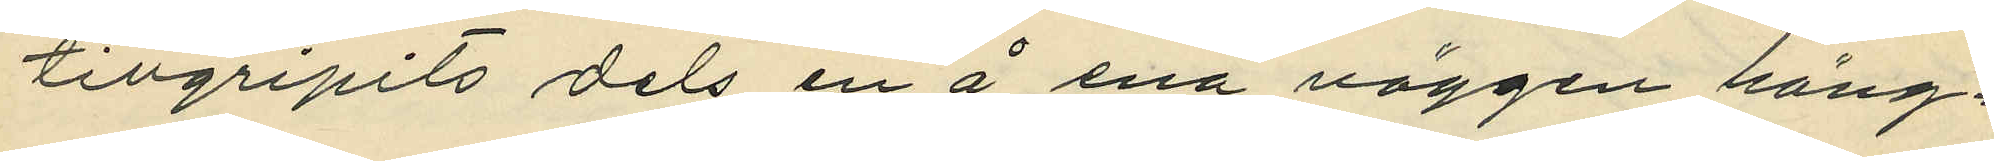tillgripits dels en å ena väggen häng¬
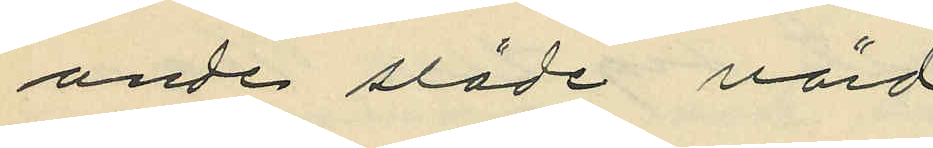ande släde värd
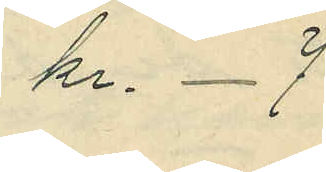kr. 7
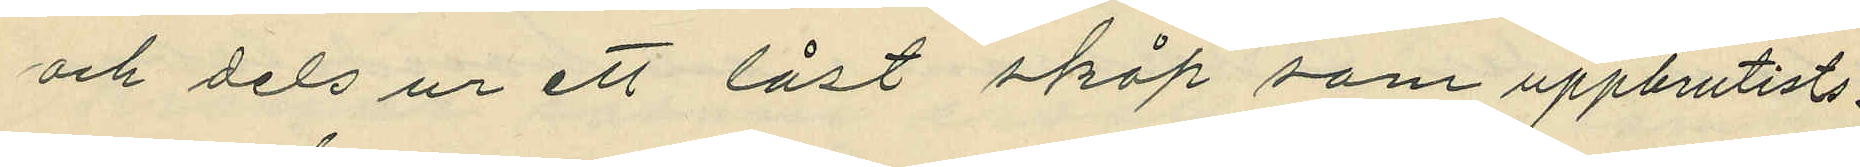och dels ur ett låst skåp som uppbrutits
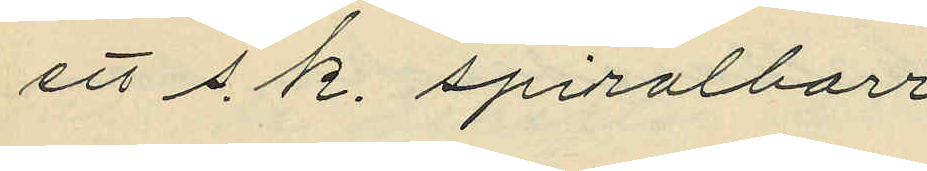ett s. k. spiralborr
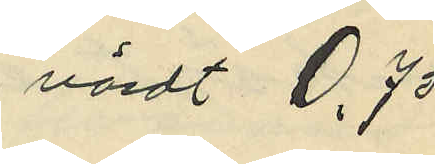värdt 0,75
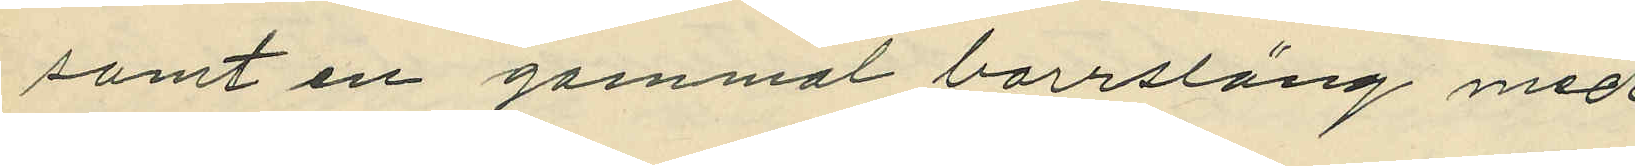samt en gammal borrsläng med
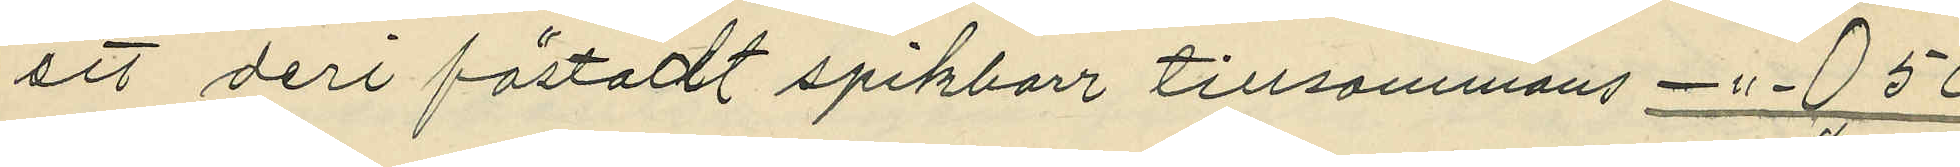ett deri fästadt spikborr tillsammans -"- 0,50
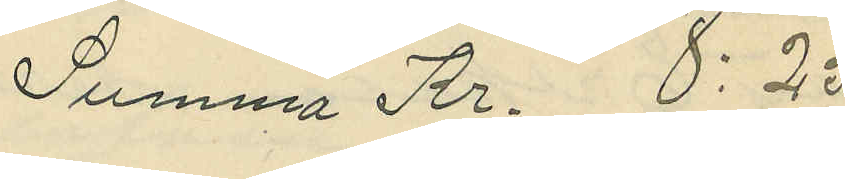Summa Kr. 8:25.
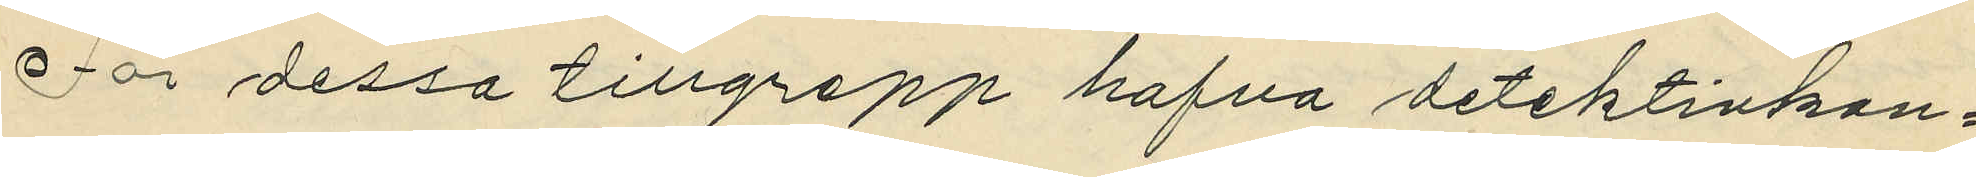För dessa tillgrepp hafva detektivkon¬
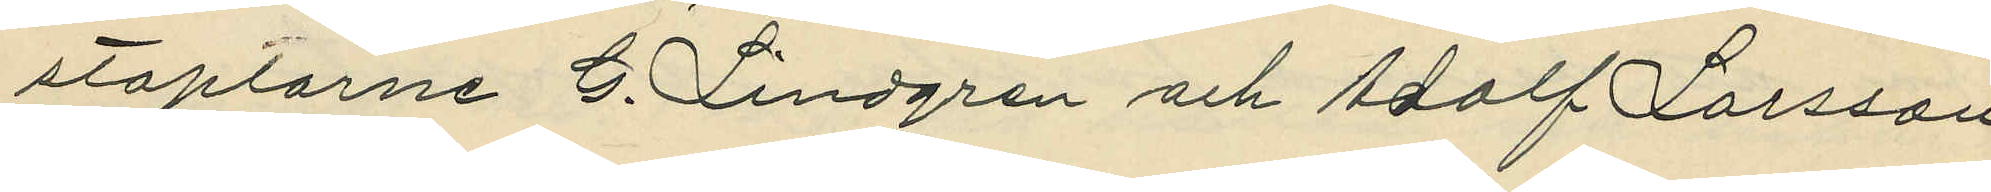staplarne G. Lindgren och Adolf Larsson
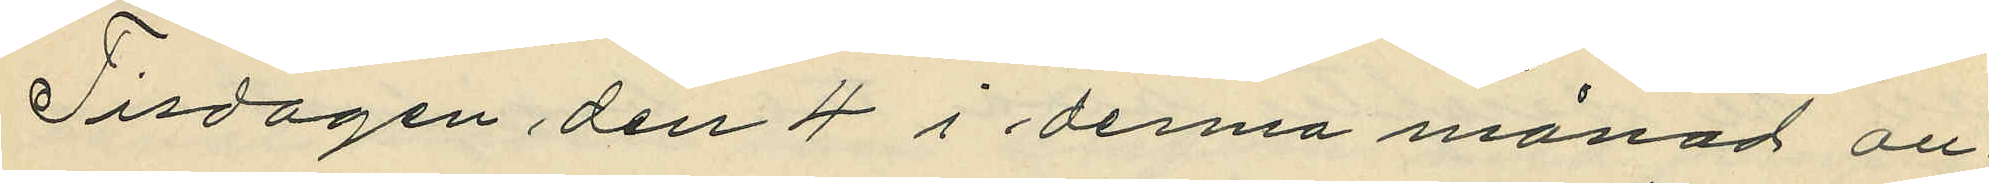Tisdagen den 4 i denna månad an¬
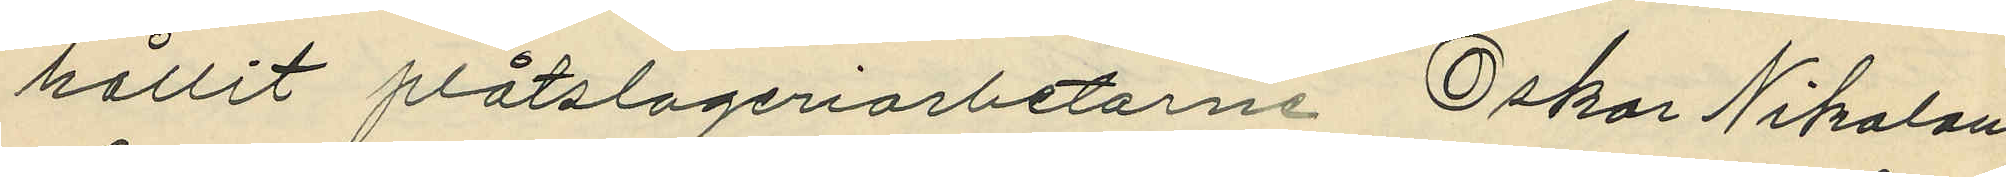hållit plåtslageriarbetarna Oskar Nikolaus
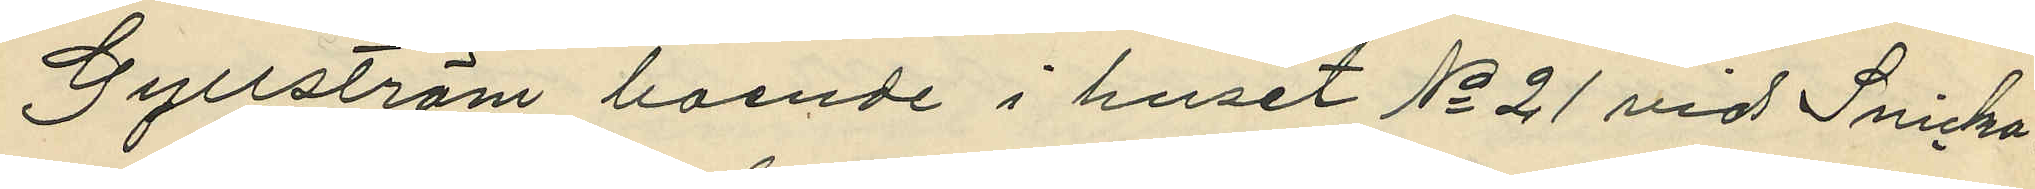Gyllström boende i huset No 21 vid Snicka¬
